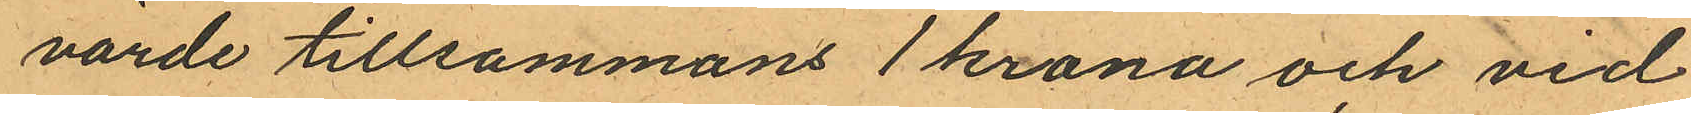värde tillsammans 1 krona och vid
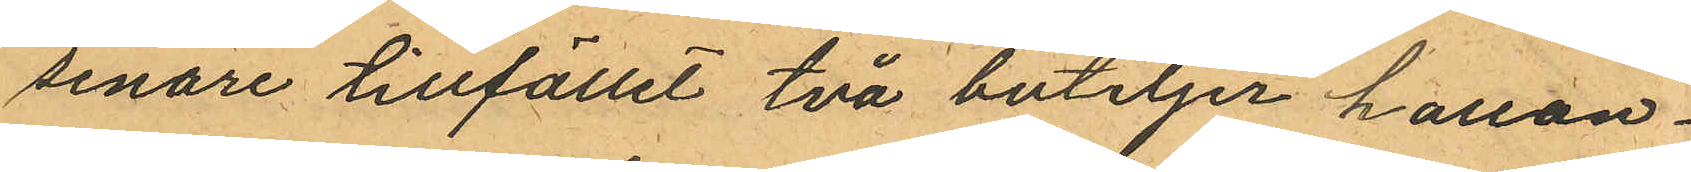senare tillfället två buteljer hallon¬
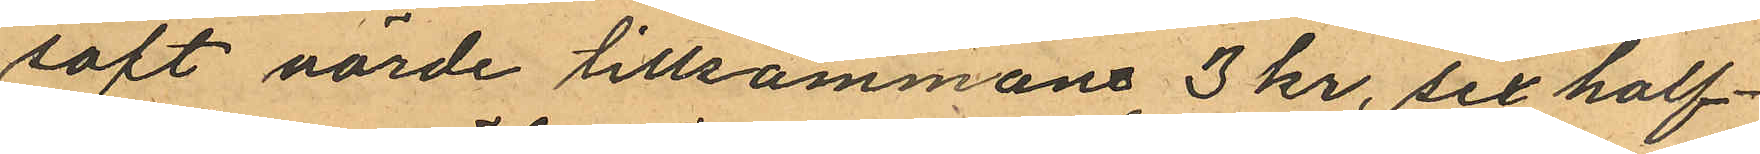saft värde tillsammans 3 kr, sex half¬
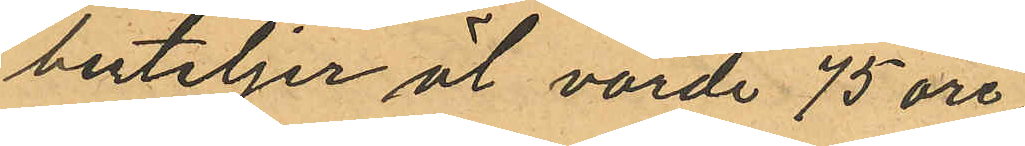buteljer öl värde 75 öre,
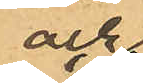och
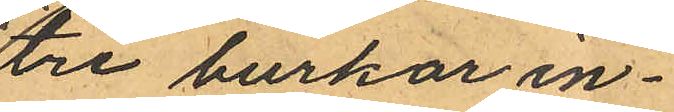tre burkar in¬
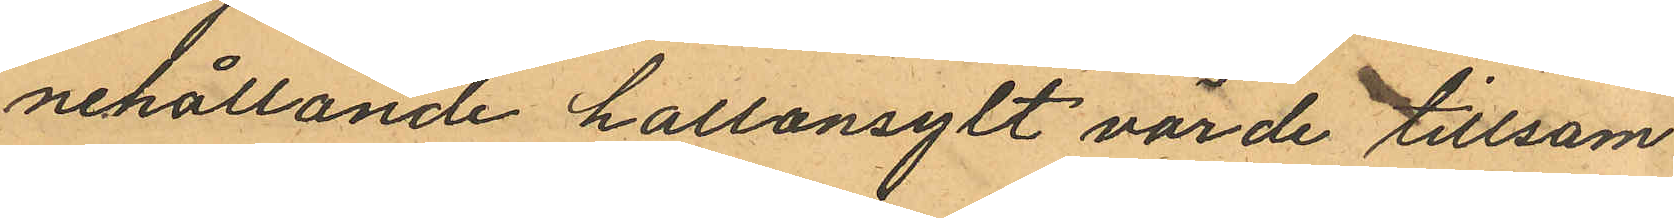nehållande hallonsylt värde tillsam
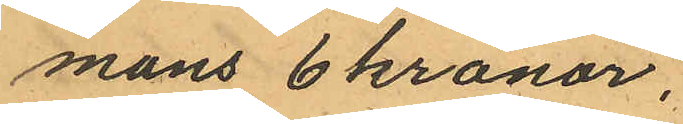mans 6 kronor.
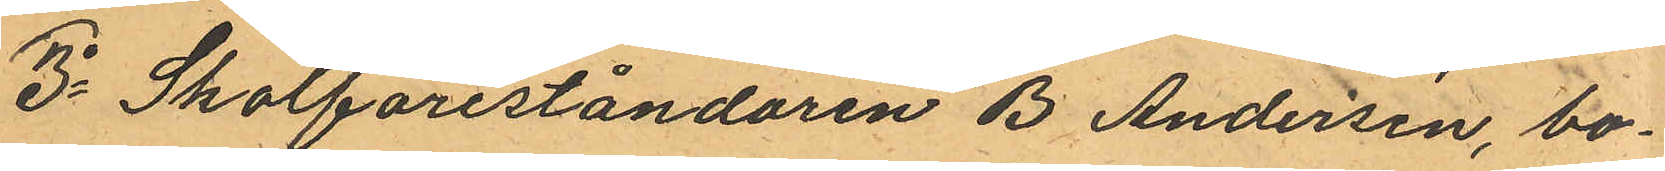3o Skolföreståndaren B Andersén, bo¬
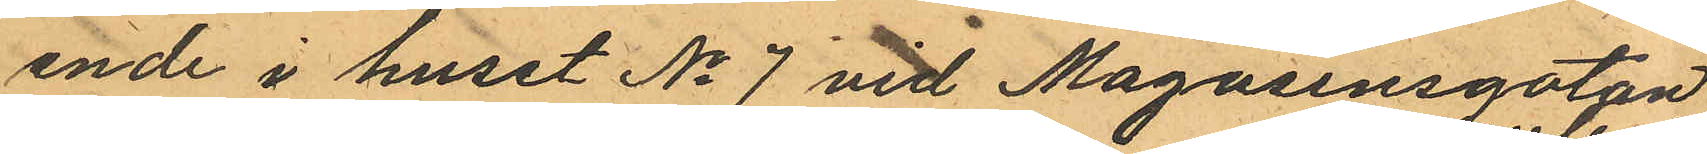ende i huset No 7 vid Magasinsgatan
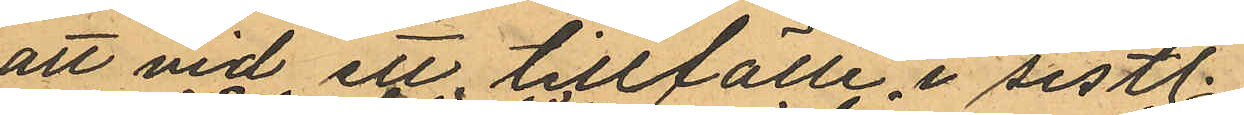att vid ett tillfälle i sistl.
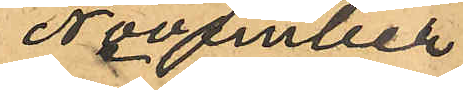November
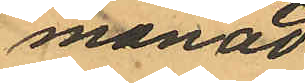månad
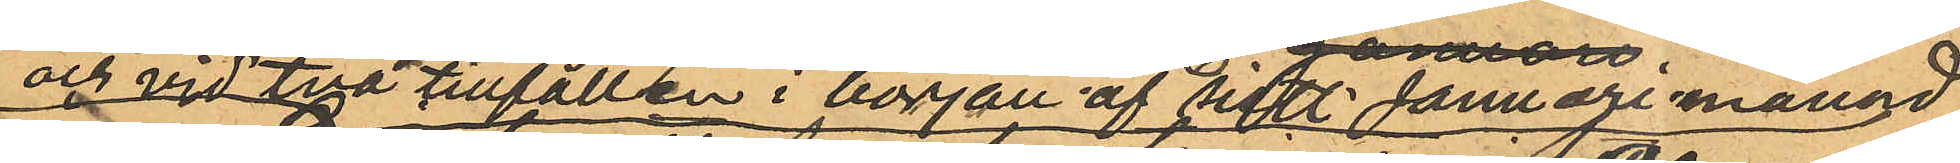och vid två tillfällen i början af sist. Januari månad
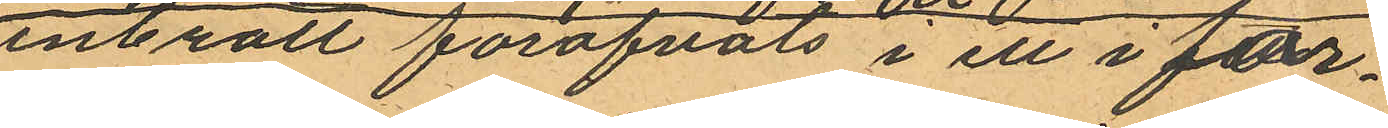inbrott föröfvats i ett i för¬
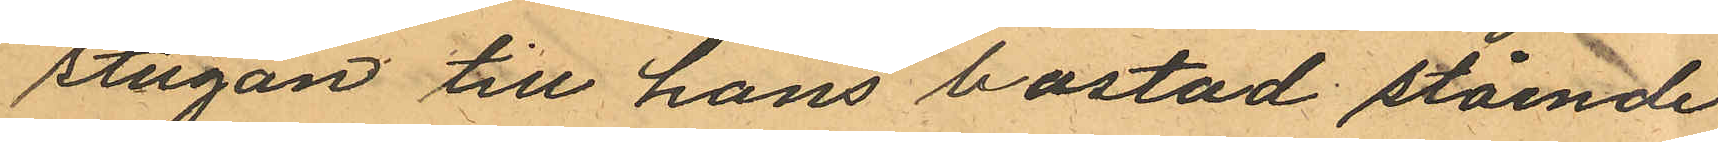stugan till hans bostad stående
